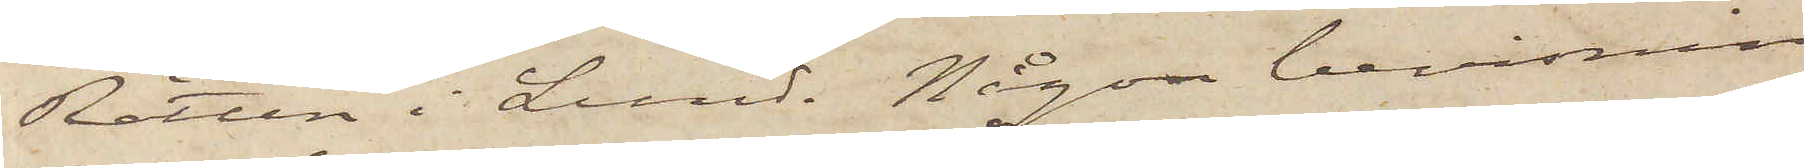Rätten i Lund. Någon bevisning
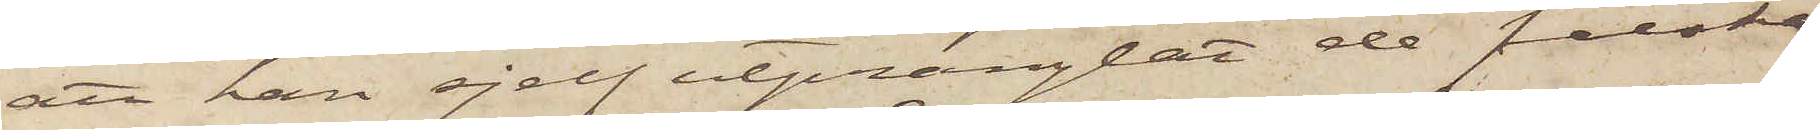att han sjelf utprånglat de falska
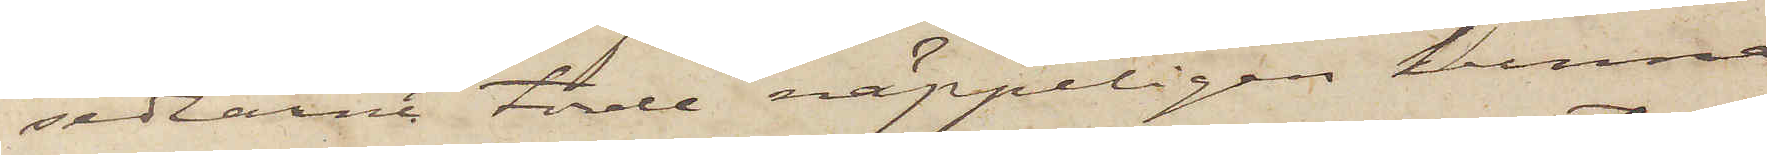sedlarne torde näppeligen kunna
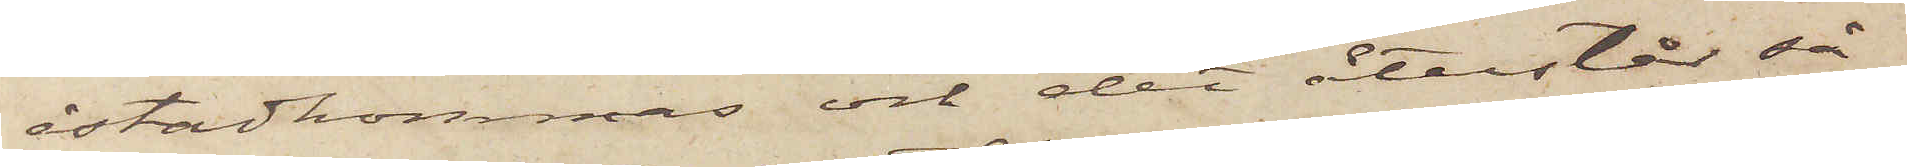åstadkommas och det återstår så¬
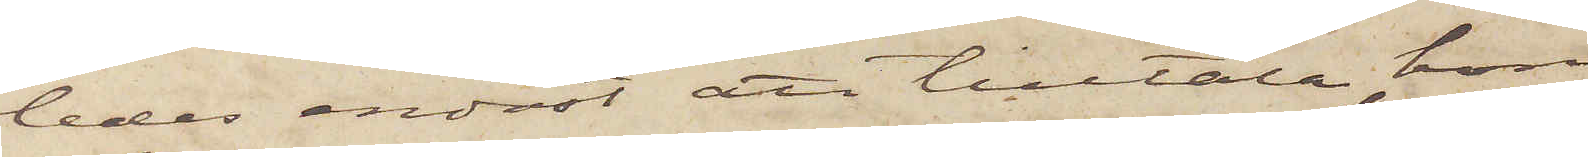ledes endast att tilltala honom
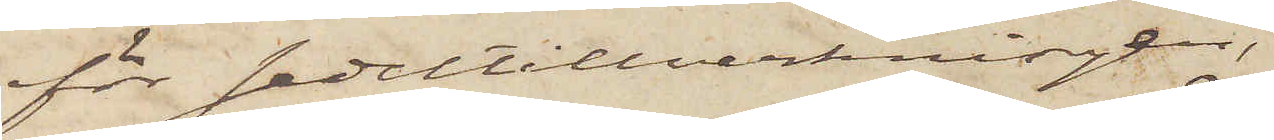för sedeltillverkningen,
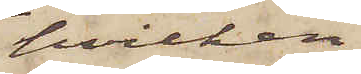hvilken
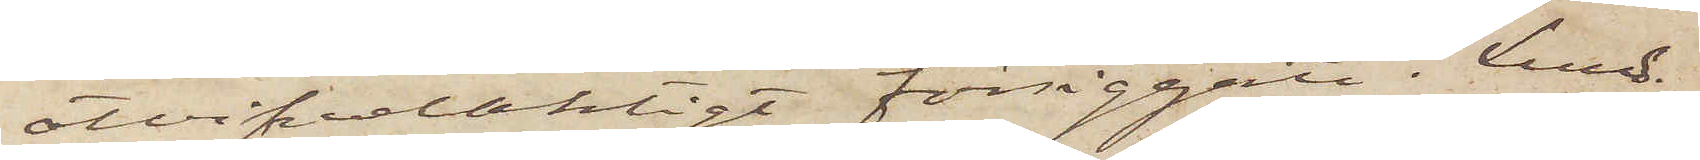otvifvelaktigt försiggått i Lund.
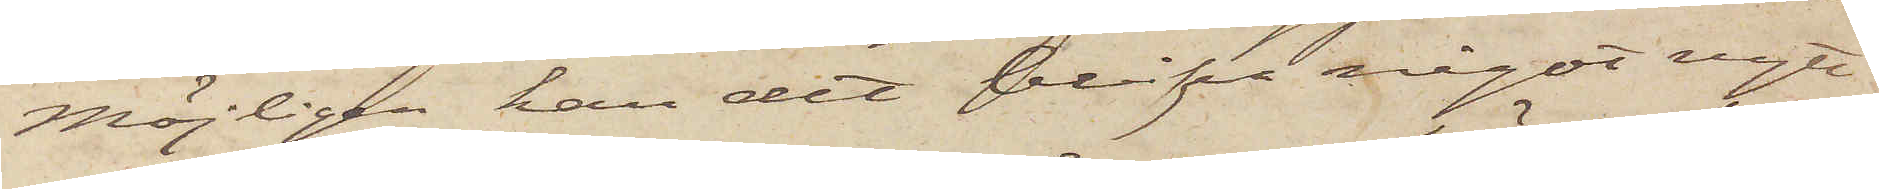Möjligen kan det blifva något nytt
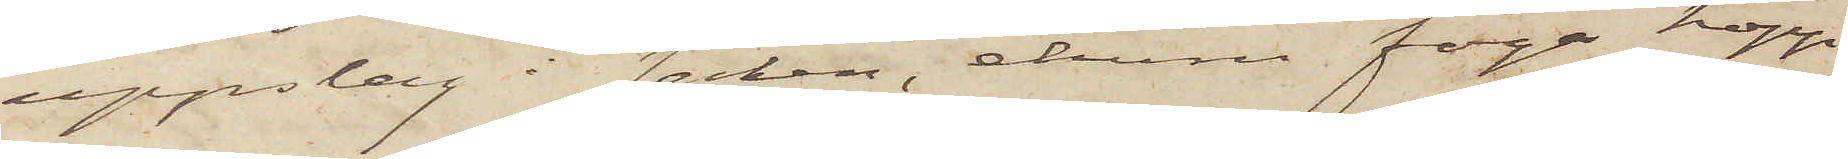uppslag i saken, ehuru föga hopp
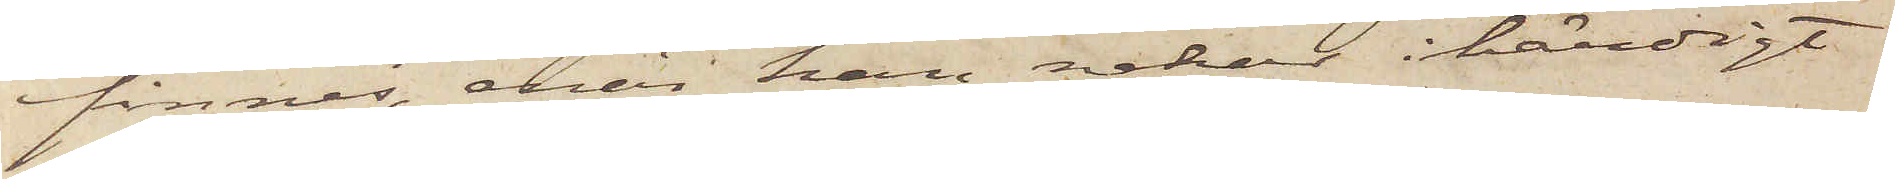finnes, enär han nekar ihärdigt.
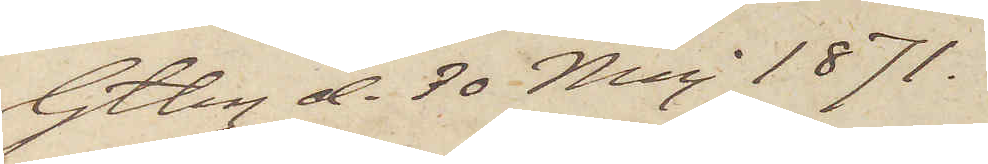Gtbg d. 30 Maj 1871.
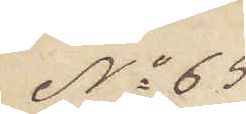No 65
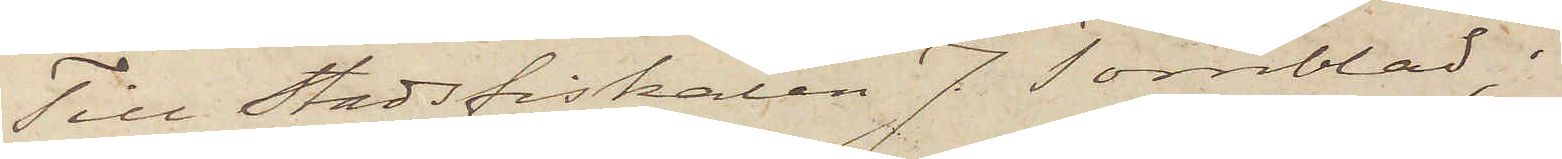Till Stadsfiskalen J. Törnblad.
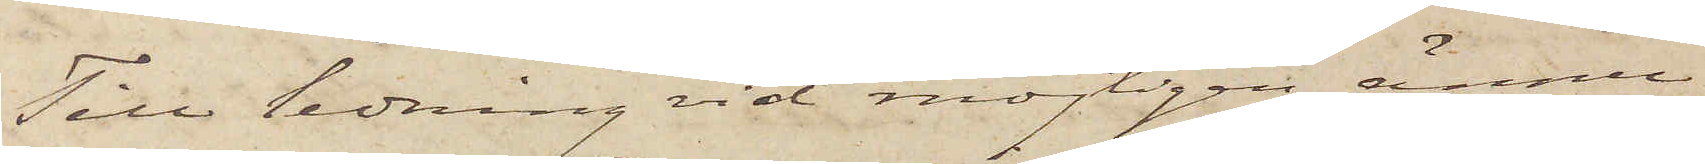Till ledning vid möjligen ännu
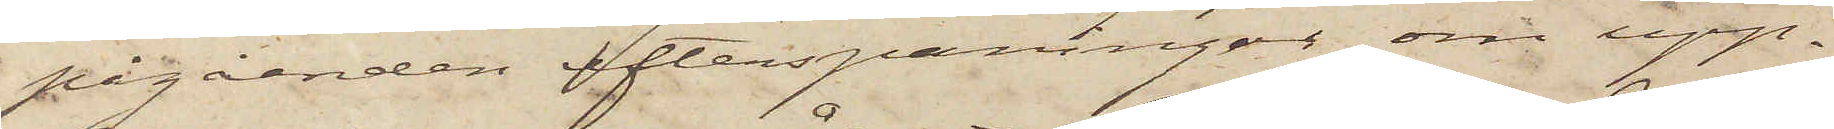pågåenden efterspaningar om upp¬
